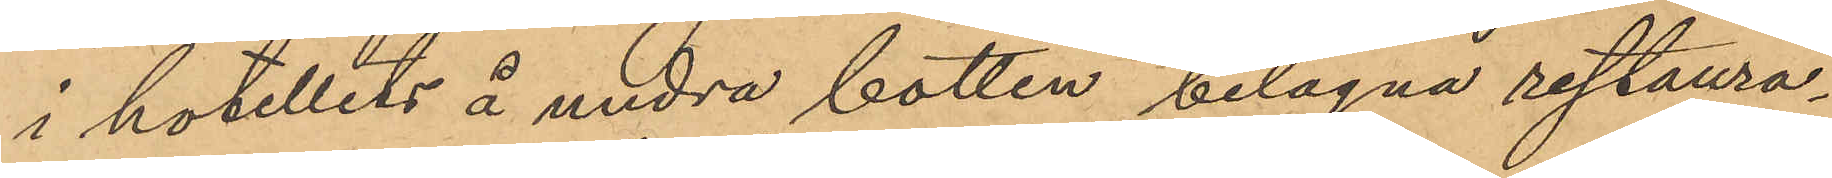i hotellets å undra botten belägna restaura¬
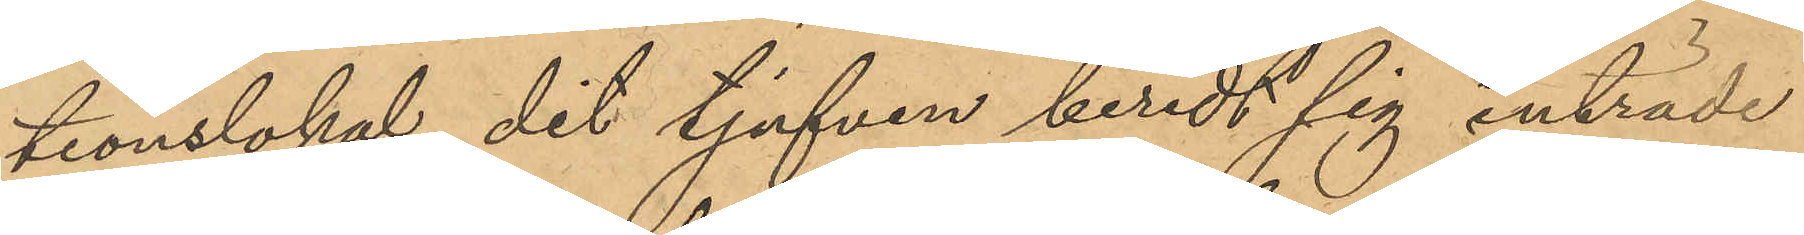tionslokal, dit tjufven beredt sig inträde
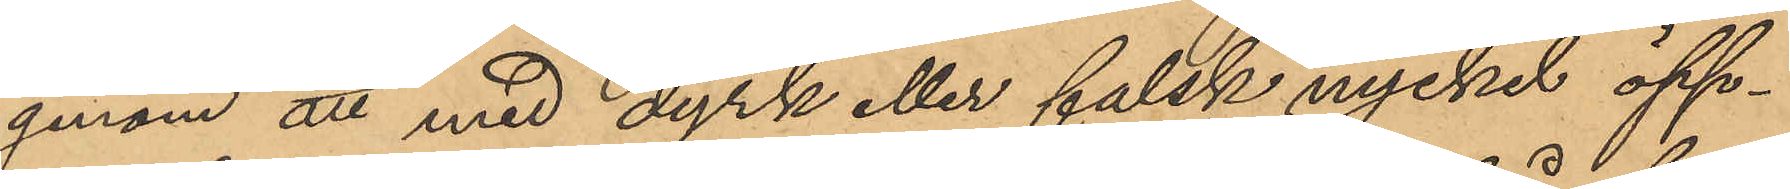genom att med dyrk eller falsk nyckel öpp¬
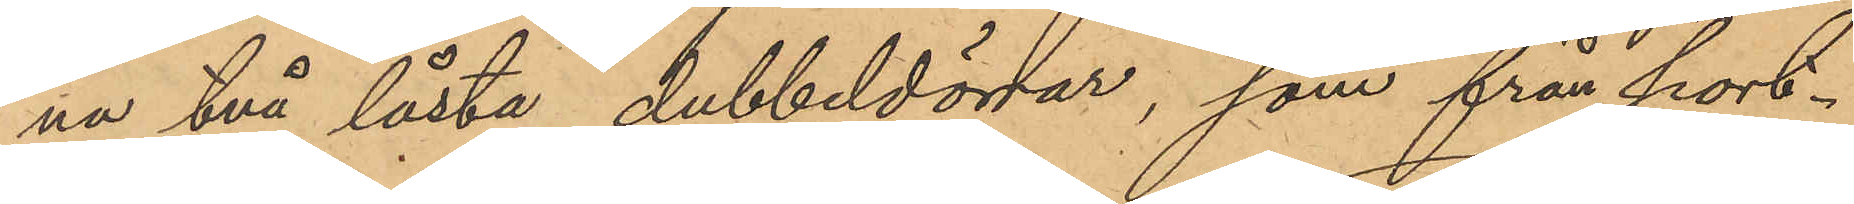na två låsta dubbeldörrar, som från port¬
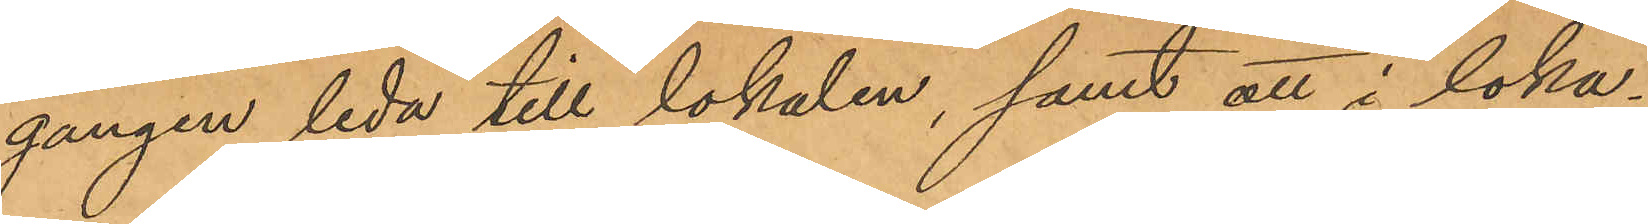gången leda till lokalen, samt att i loka¬
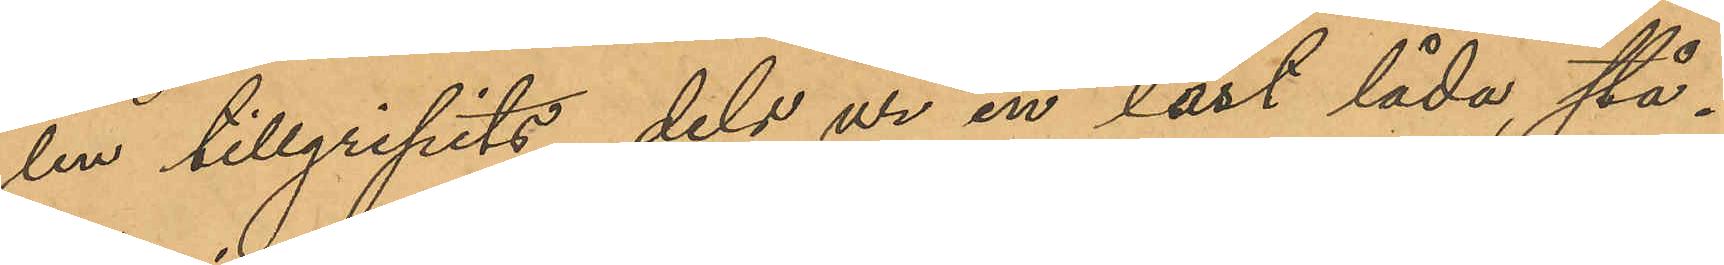len tillgripits dels ur en låst låda, stå¬
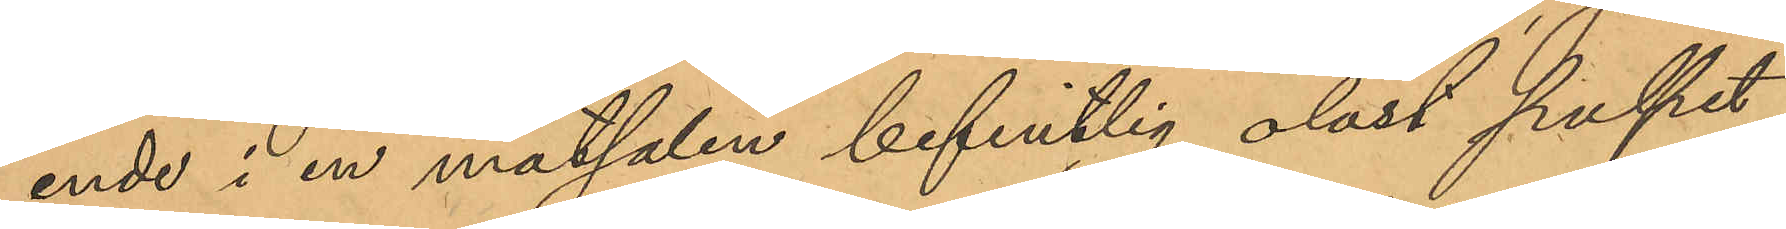ende i en matsalen befintlig olåst pulpet,
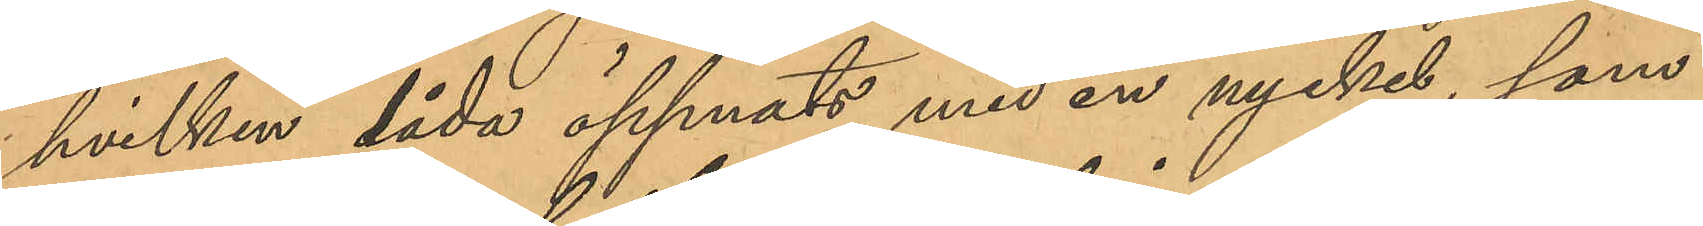hvilken låda öppnats med en nyckel, som
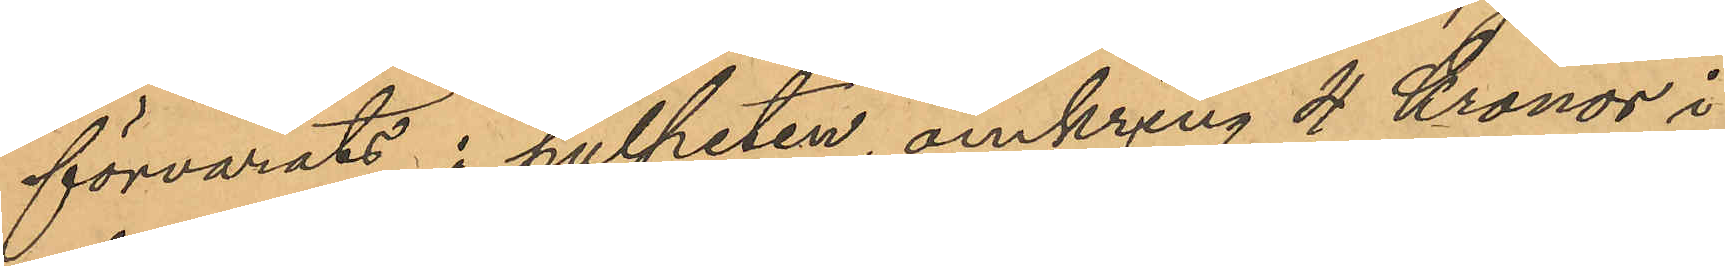förvarats i pulpeten omkring 4 Kronor i
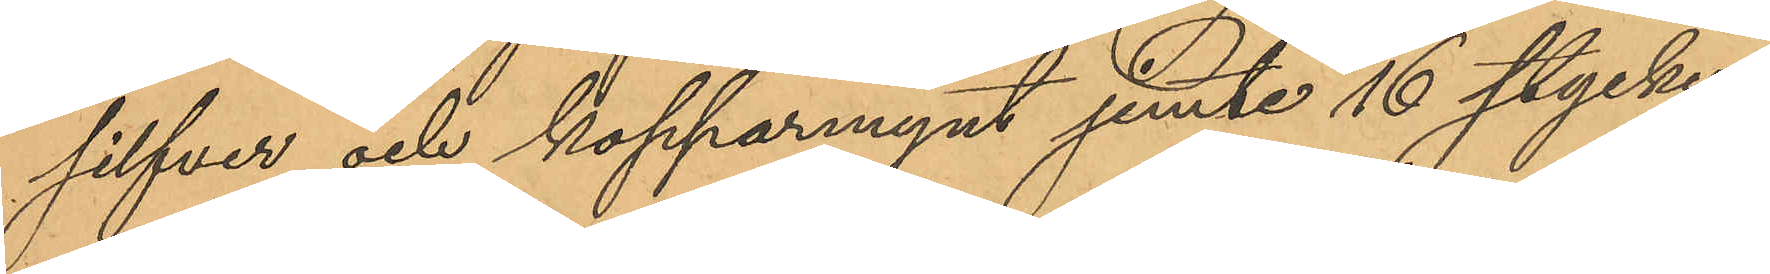silfver och kopparmynt jemte 16 stycken
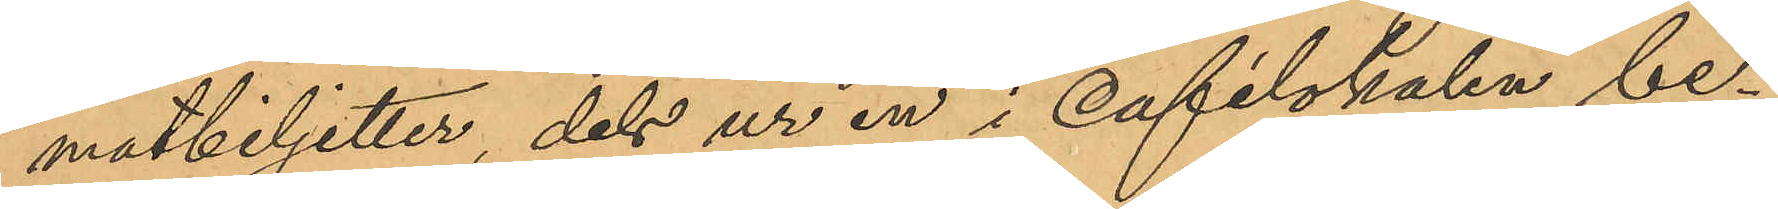matbiljetter, dels ur en i cafelokalen be¬
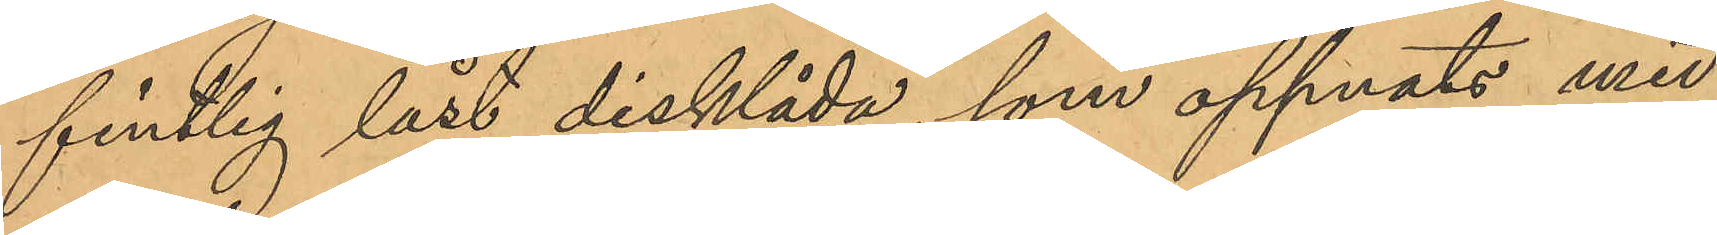fintlig låst disklåda, som öppnats med
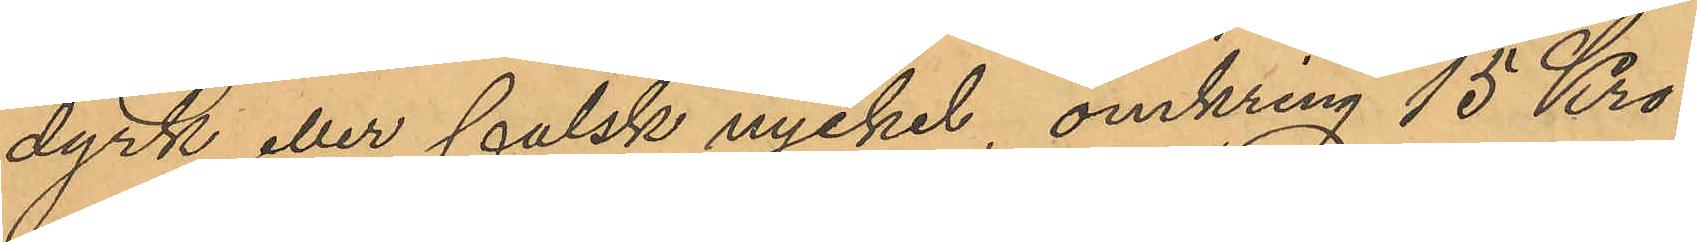dyrk eller falsk nyckel, omkring 15 Kro¬
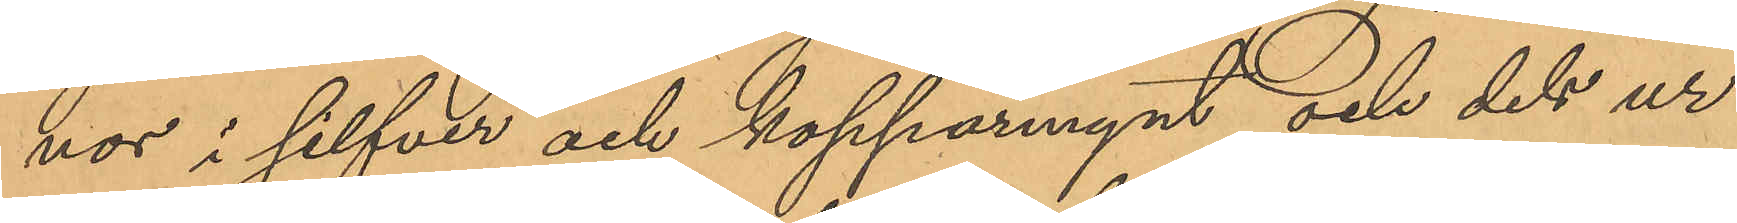nor i silfver och kopparmynt och dels ur
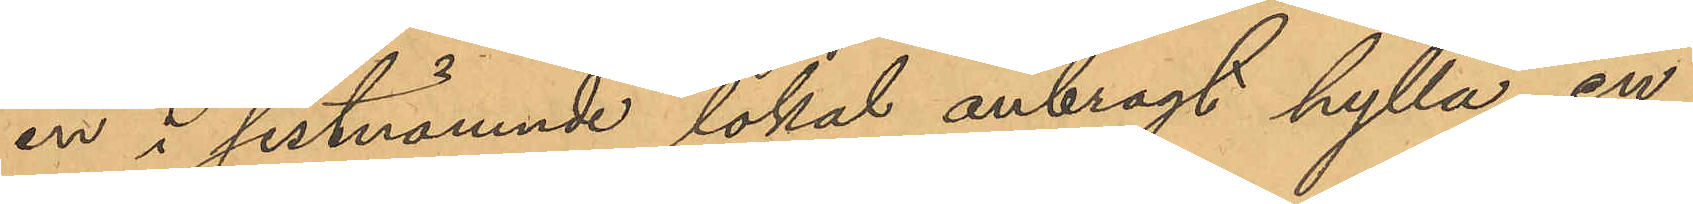en i sistnämnde lokal anbragt hylla en
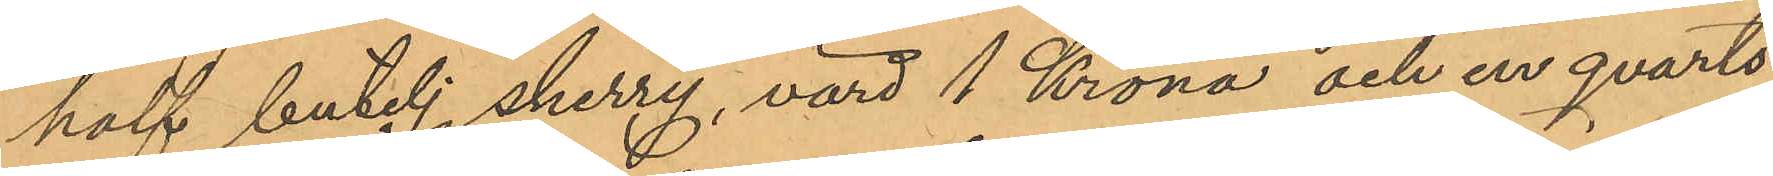half butelj sherry, värd 1 Krona och en qvarts
